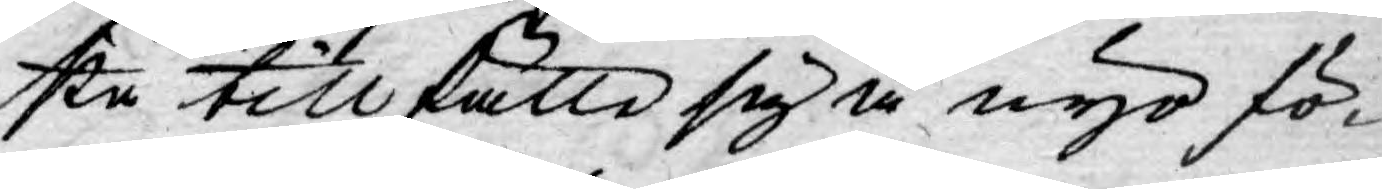sta tillfälle sig å nyo fö-
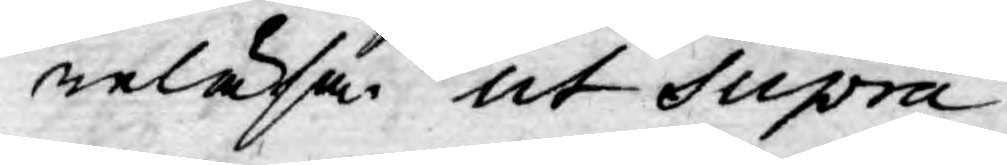reläsa. ut Supra.
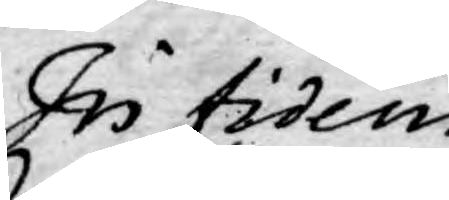In fidem
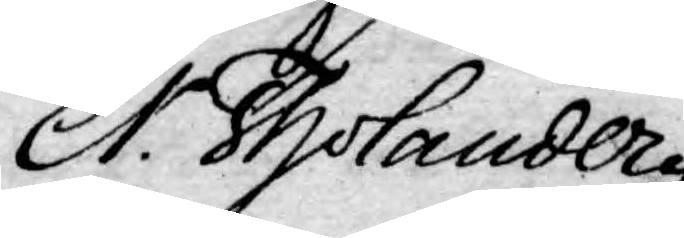Er. Tholander
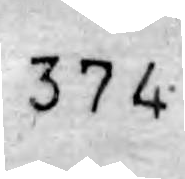374
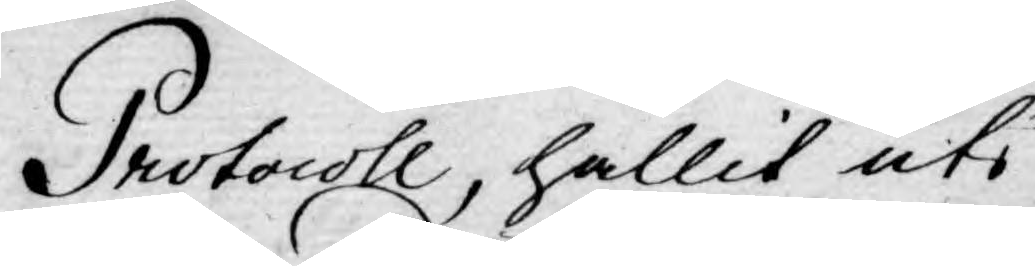Protocoll, hållit uti
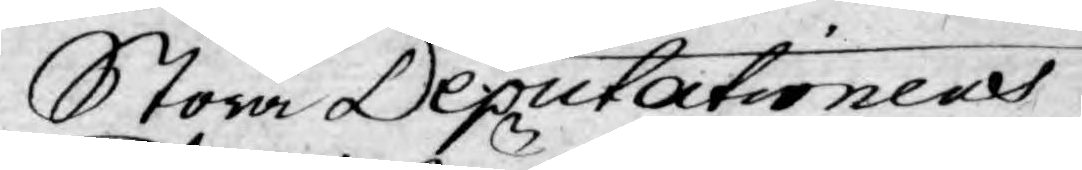Stora Deputationens
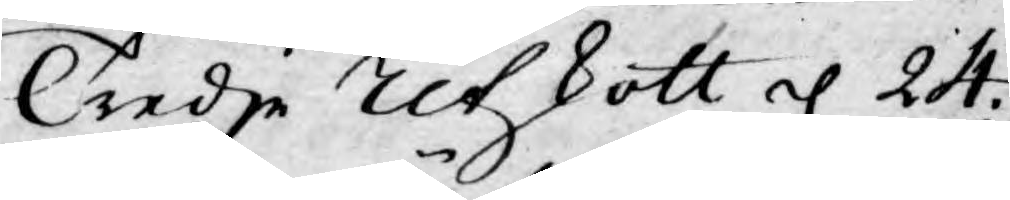Tredje Utskott d. 24.
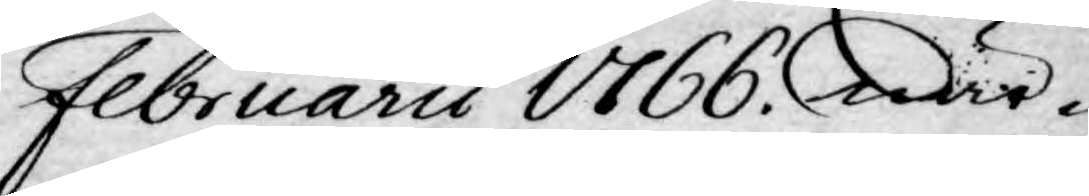Februarii 1766. När-
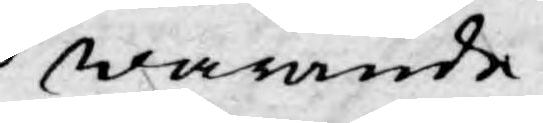warande
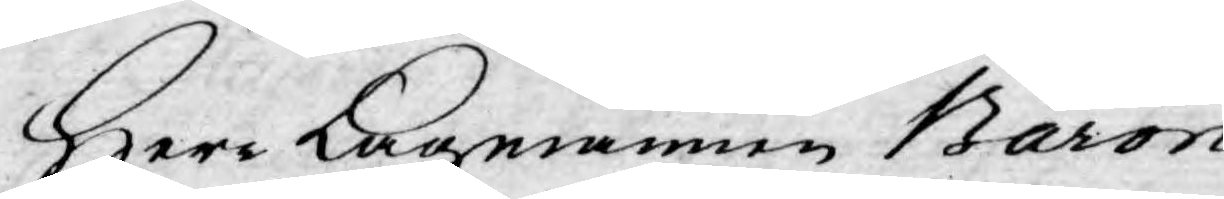Herr Lagmannen Baron
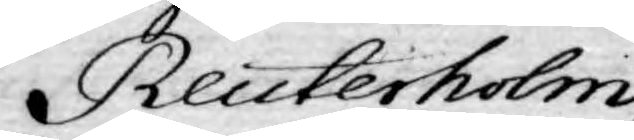Reuterholm,
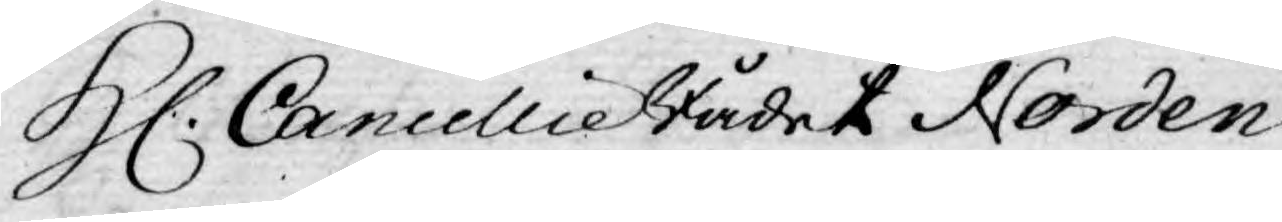H. Cancellie Rådet Norden¬
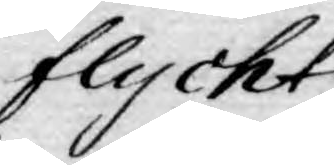flycht
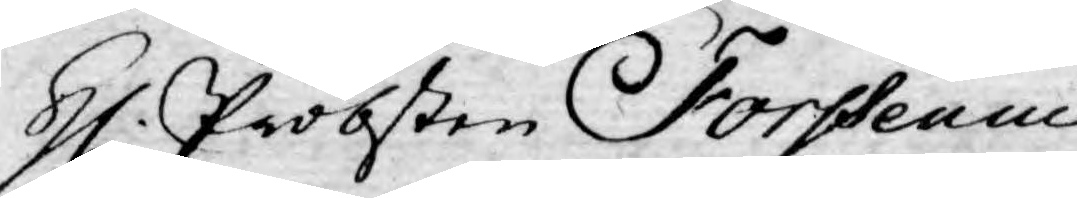H. Probsten Forssenius
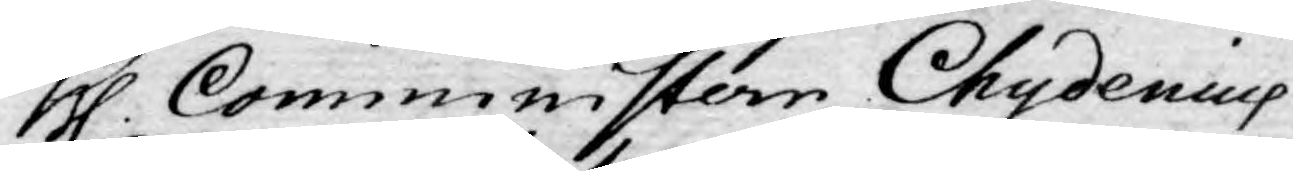H. Comministern Chydenius
